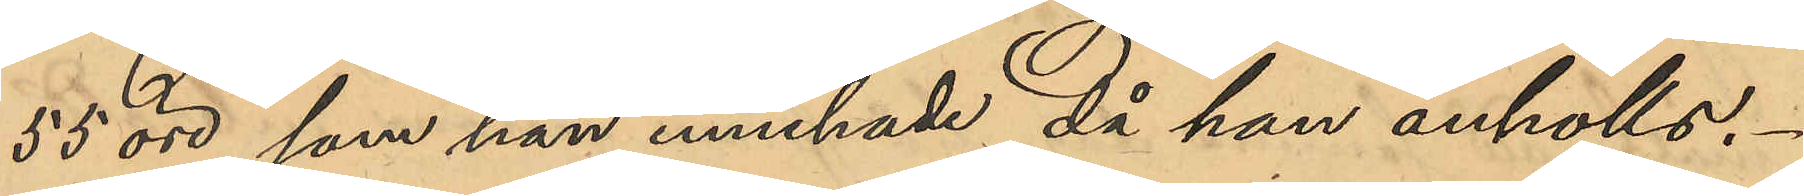55 öre, som han innehade då han anhölls.
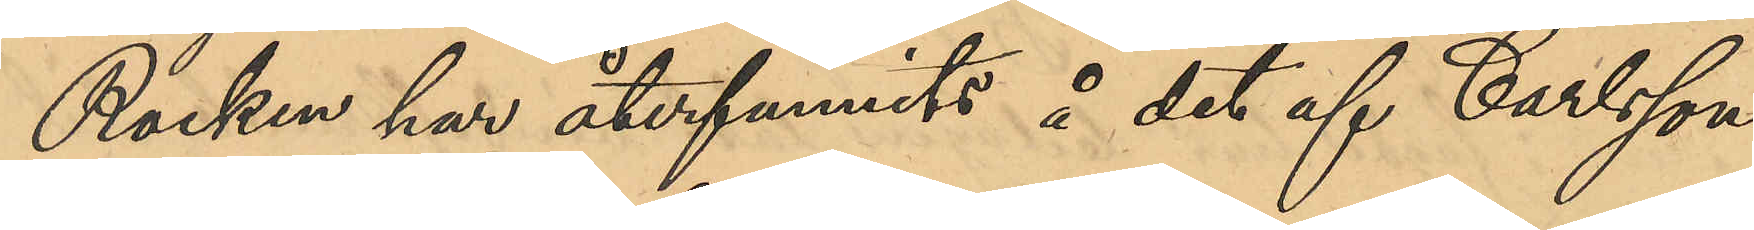Rocken har återfunnits å det af Carlsson
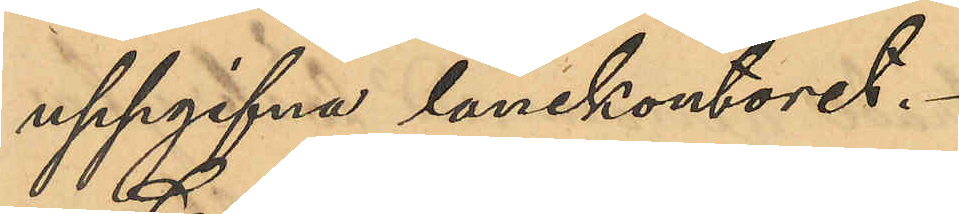uppgifna lånekontoret.
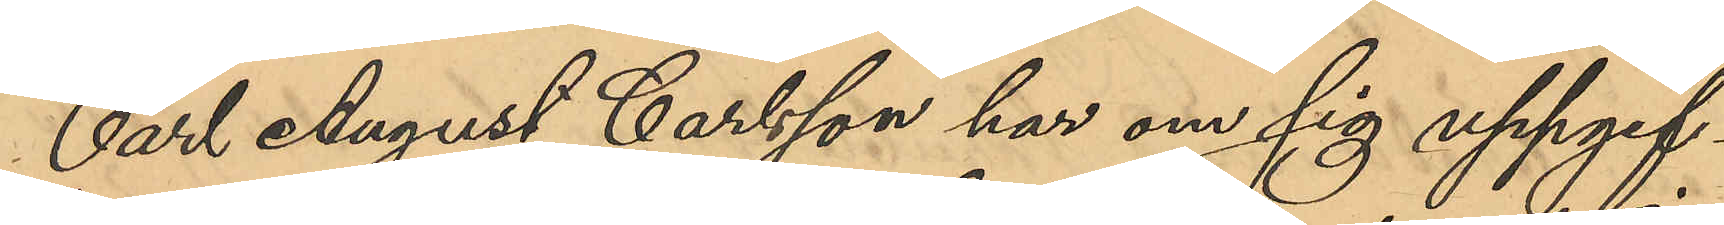Carl August Carlsson har om sig uppgif¬
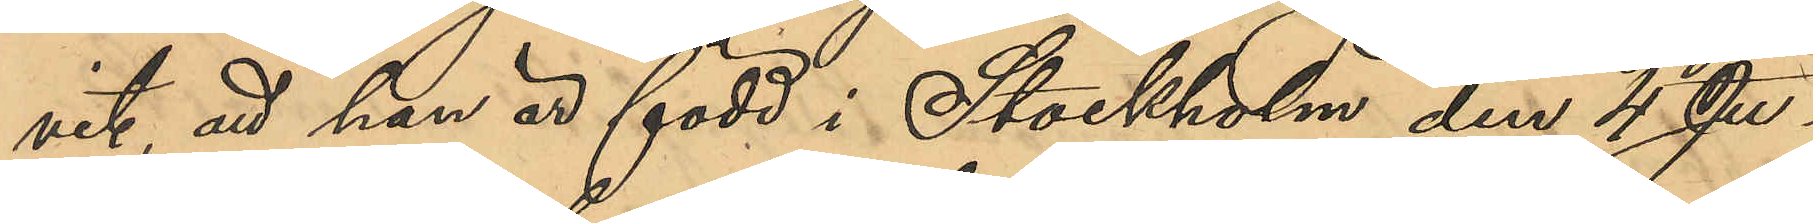vit, att han är född i Stockholm den 4 Ju¬
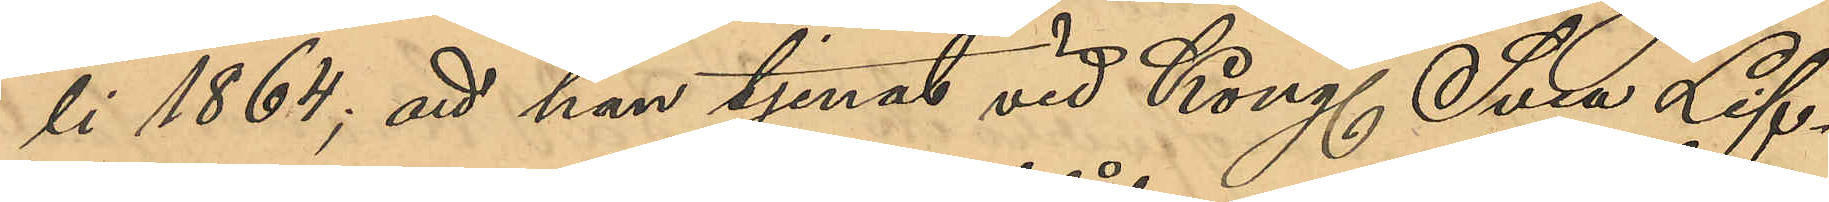li 1864; att han tjenat vid Kongl Svea Lif¬
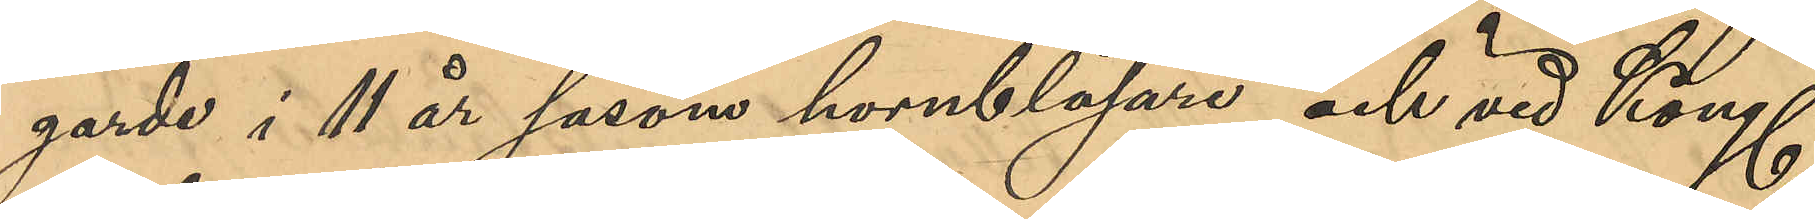garde i 11 år såsom hornblåsare och vid Kongl
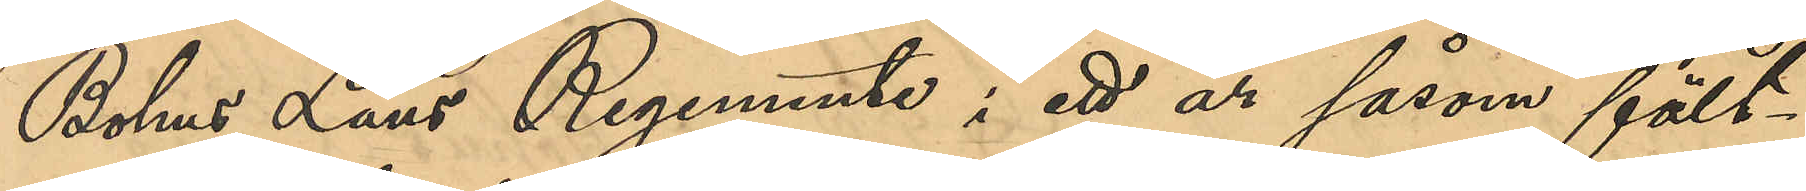Bohus Läns Regemente i ett år såsom fält¬
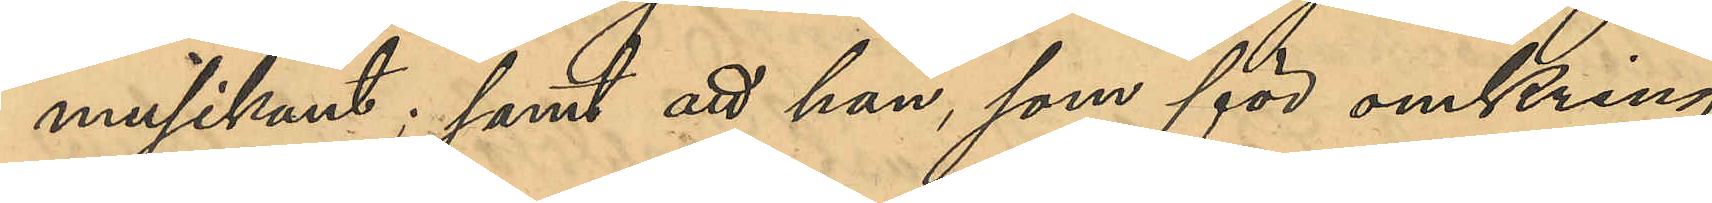musikant; samt att han, som för omkring
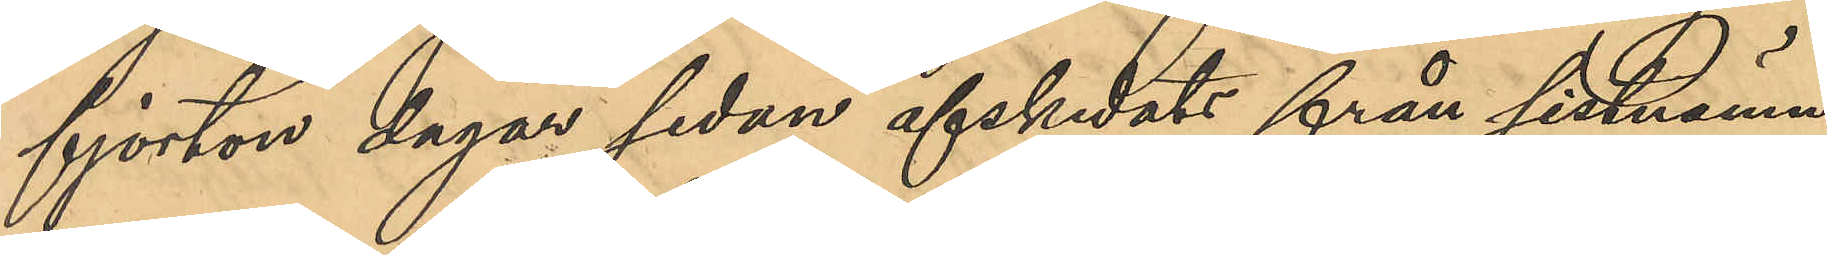fjorton dagar sedan afskedats från sist nämn¬
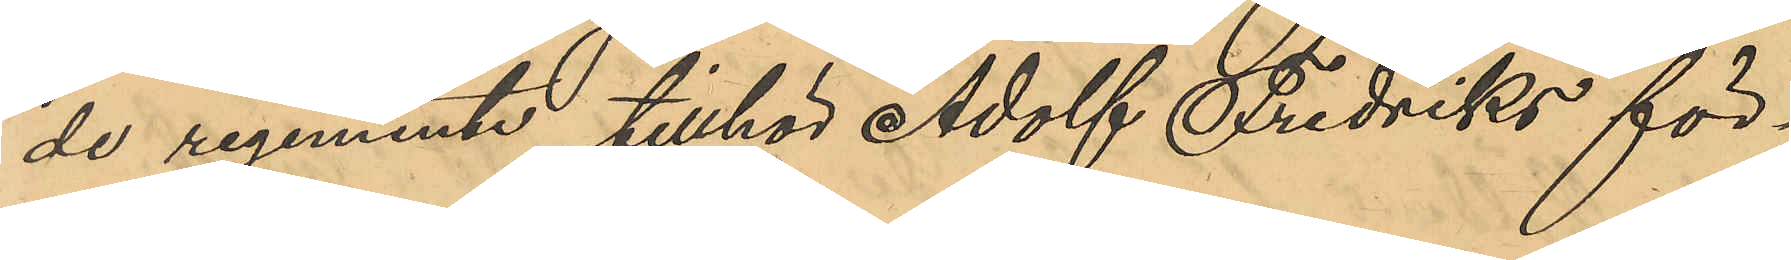de regemente tillhör Adolf Fredriks för¬
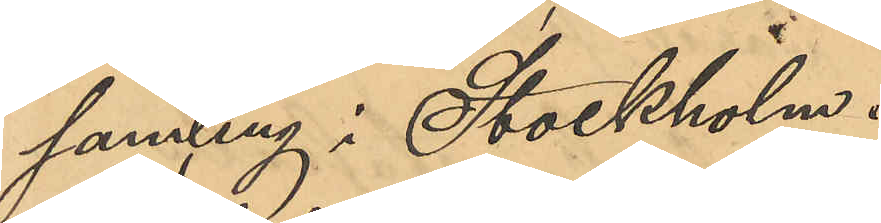samling i Stockholm.
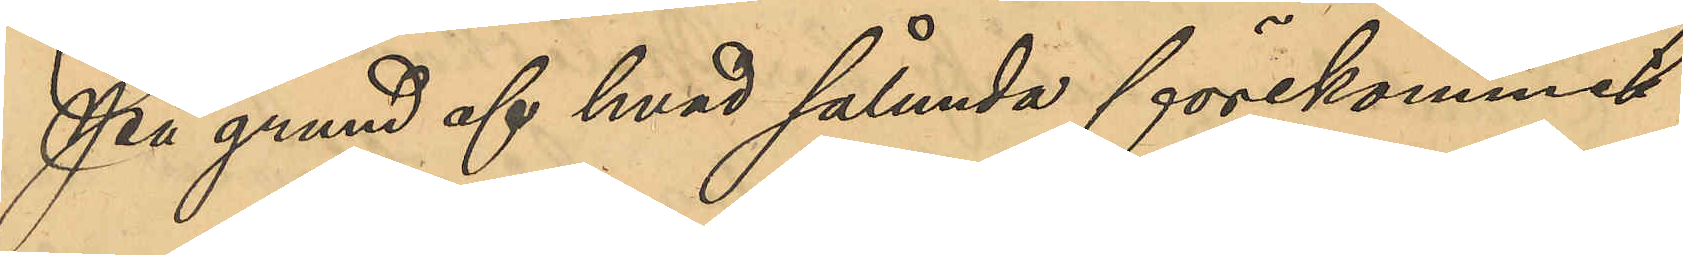På grund af hvad sålunda förekommit
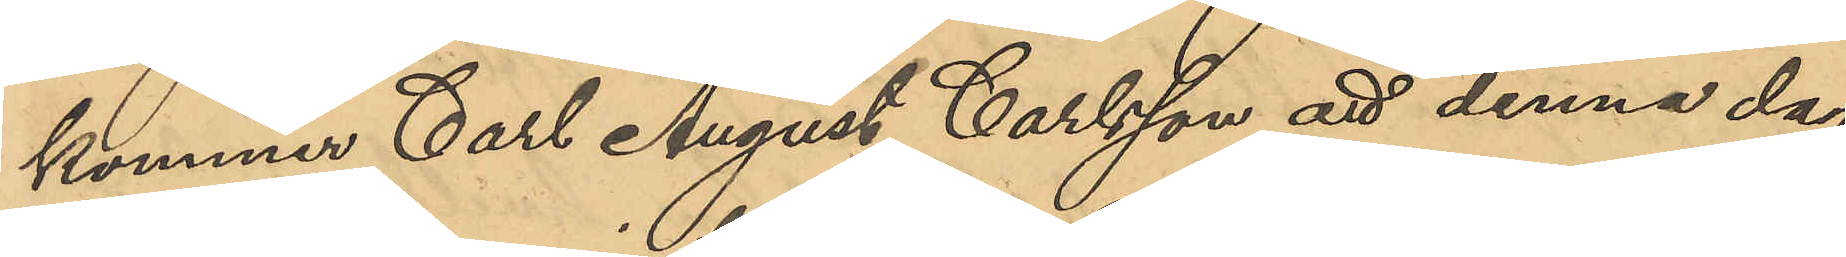kommer Carl August Carlsson att denna dag
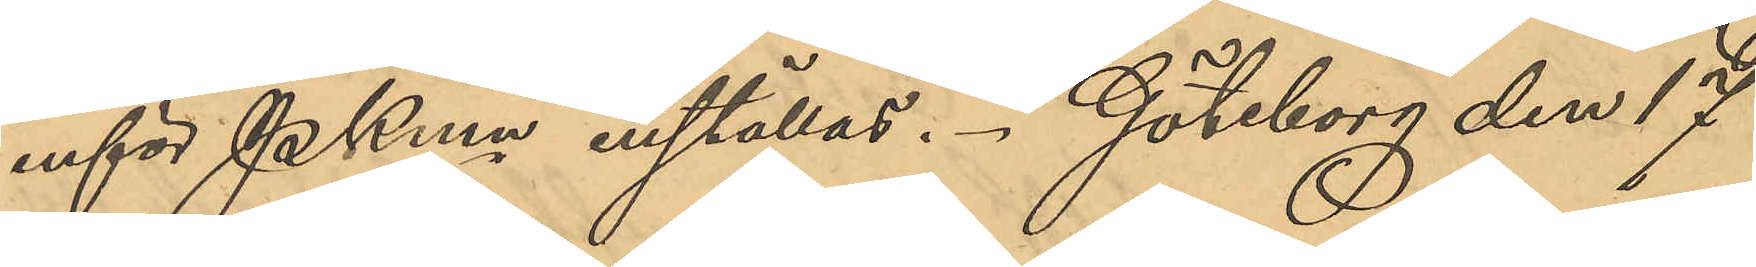inför PKmn inställas. Göteborg den 17
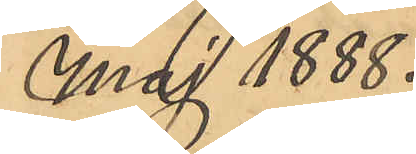Maj 1888.
